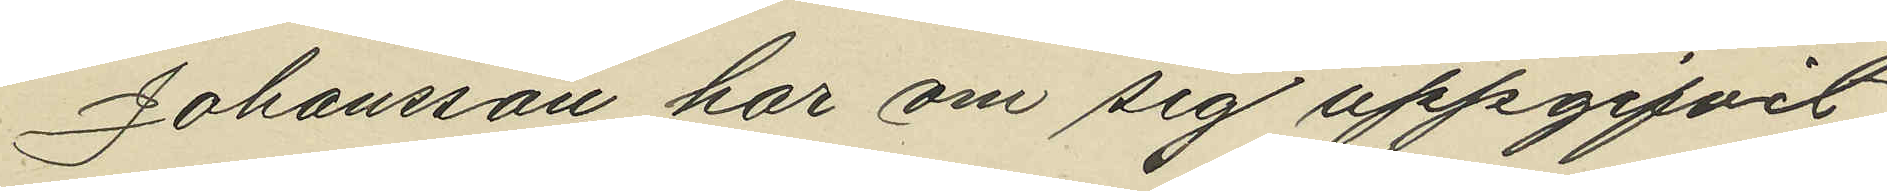Johansson har om sig uppgifvit
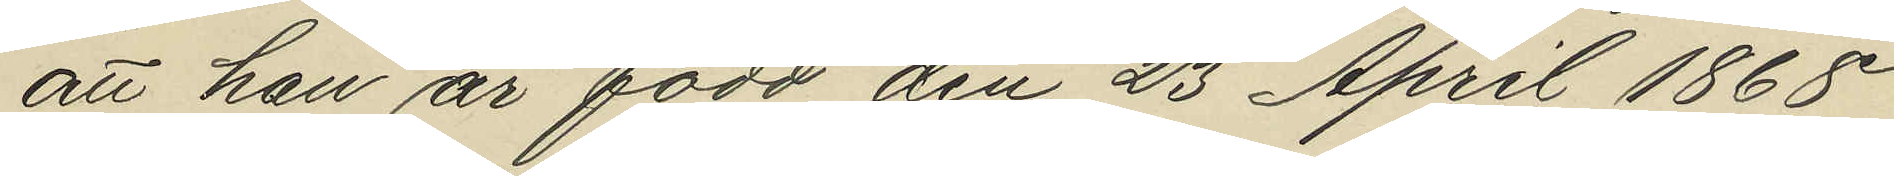att han är född den 23 April 1868
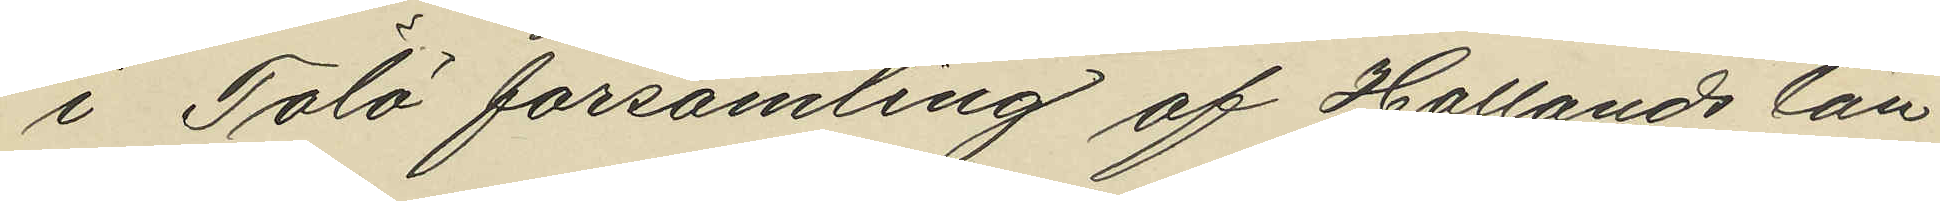i Tölö församling af Hallands län
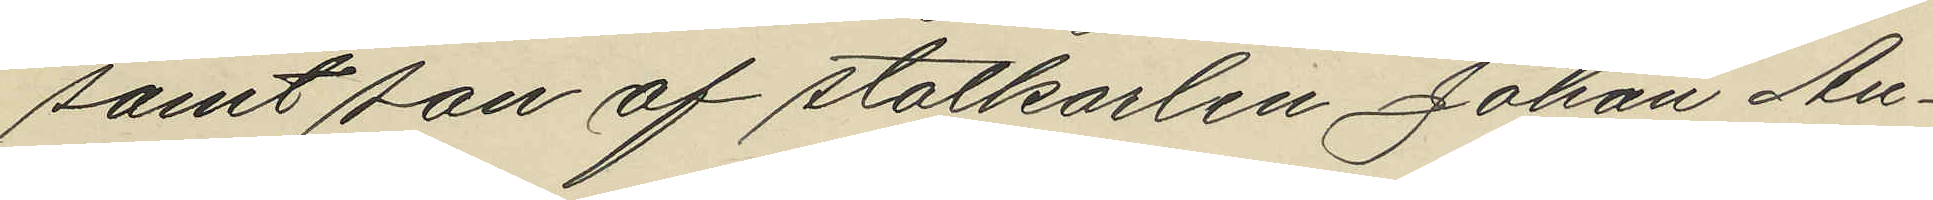samt son af statkarlen Johan An¬
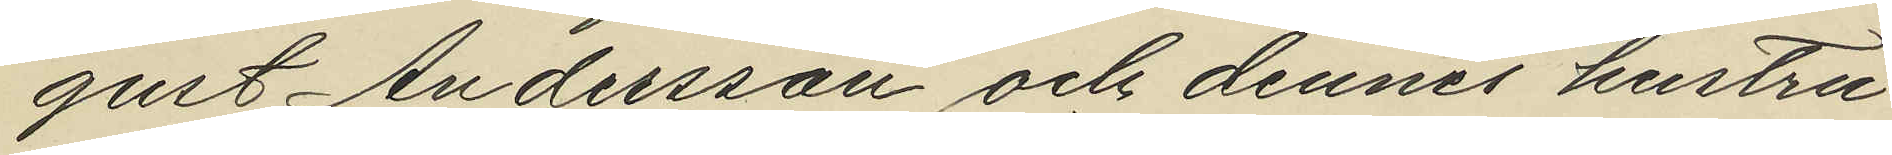gust Andersson och dennes hustru
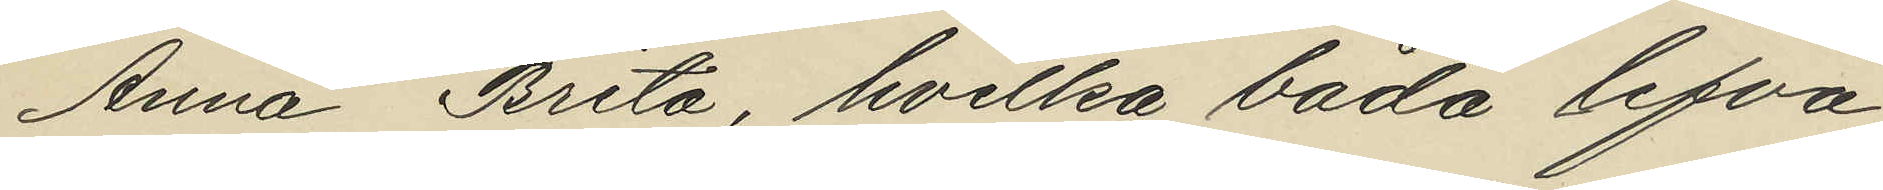Anna Brita, hvilka båda lefva
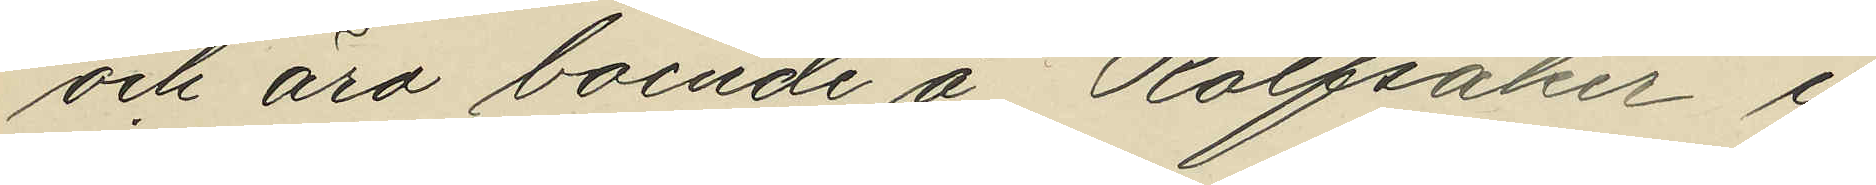och äro boende å Rolfsåker i
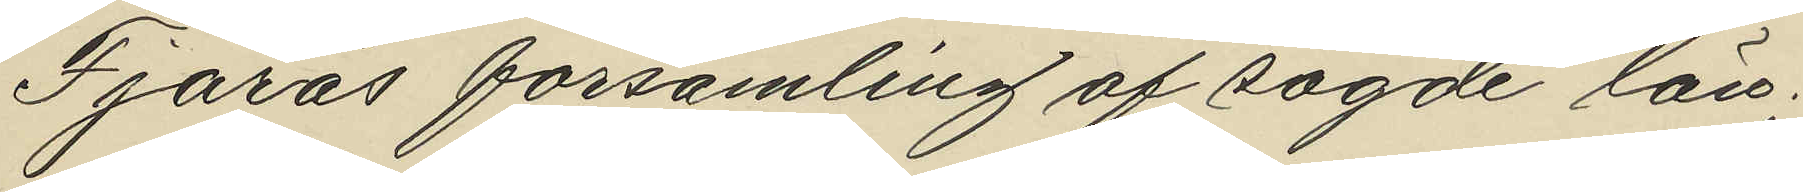Fjärås församling af sagde län;
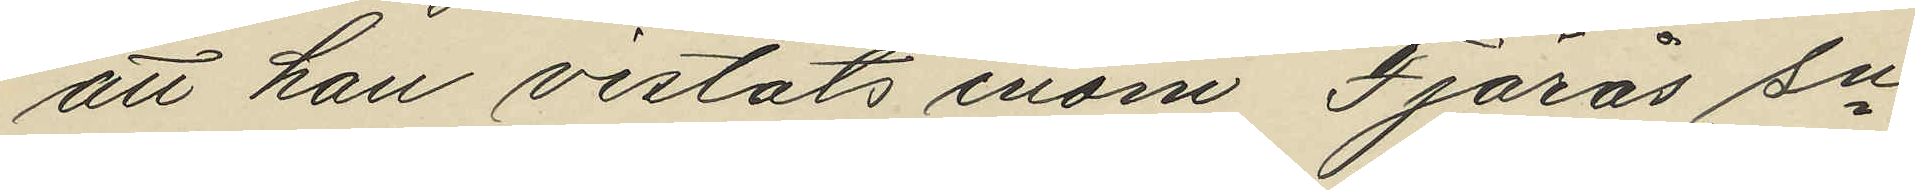att han vistats inom Fjärås sn
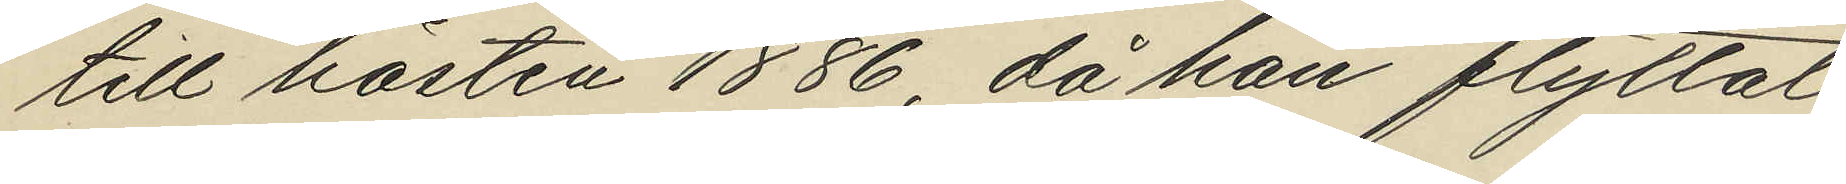till hösten 1886, då han flyttat
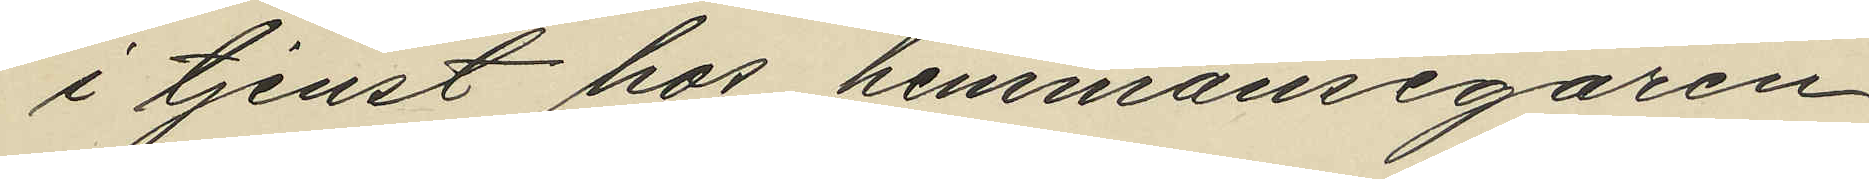i tjenst hos hemmansegaren
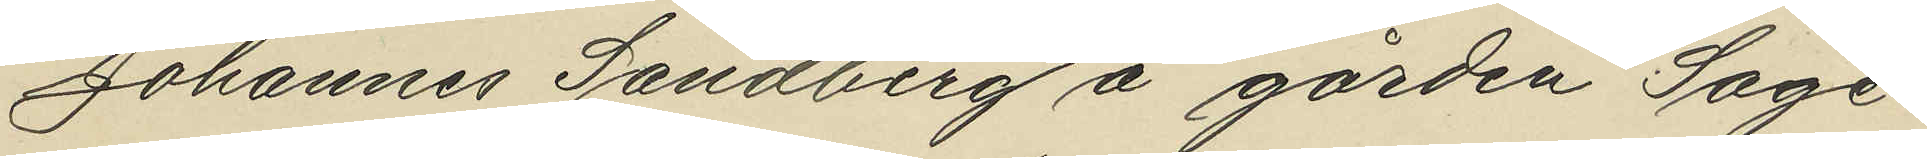Johannes Sandberg å gården Sage¬
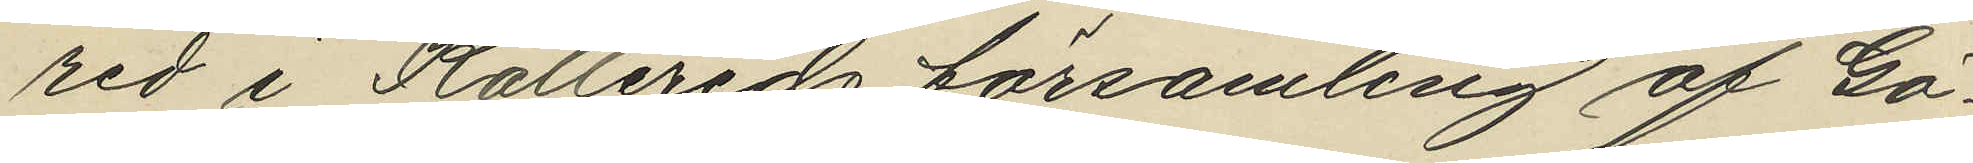red i Kållereds församling af Gö¬
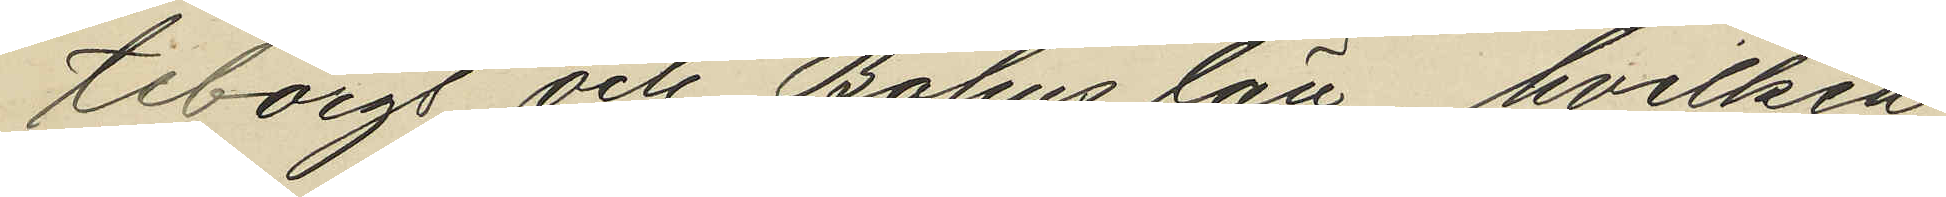teborgs och Bohus län, hvilken
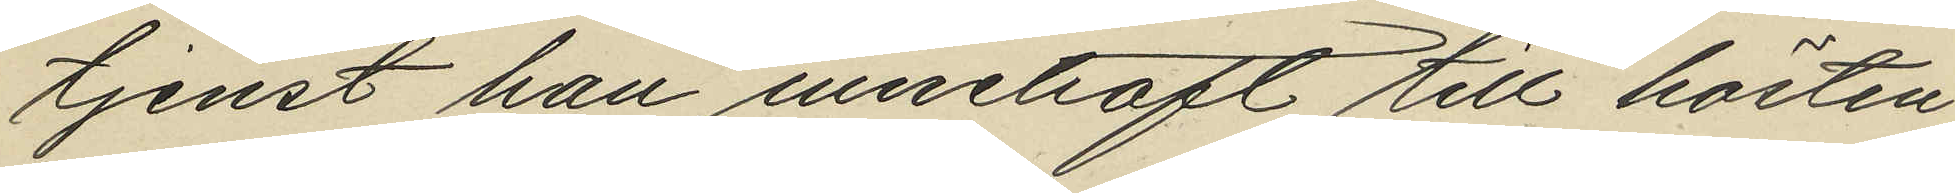tjenst han innehaft till hösten
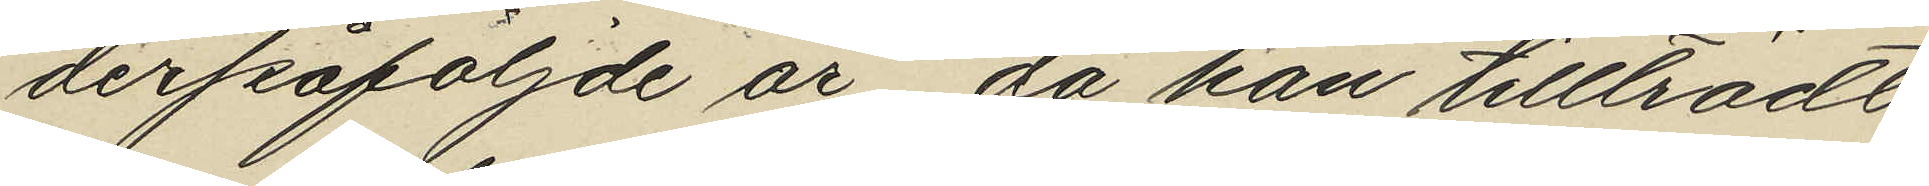derpåföljde år, då han tillträdt
